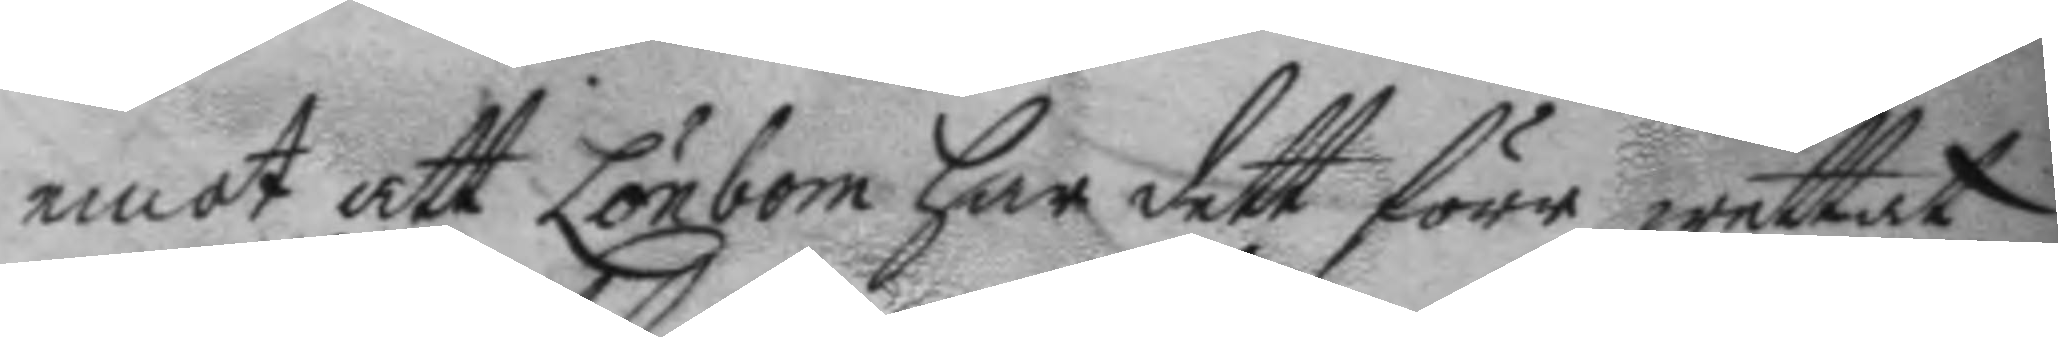emot att Lönbom har dett förr wettat
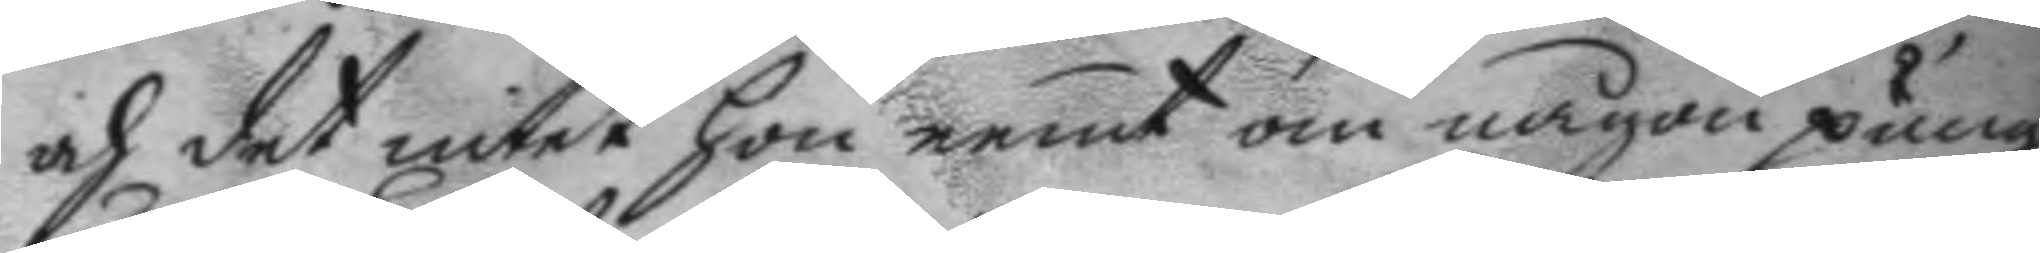och det intet hon nemt om någon pung,
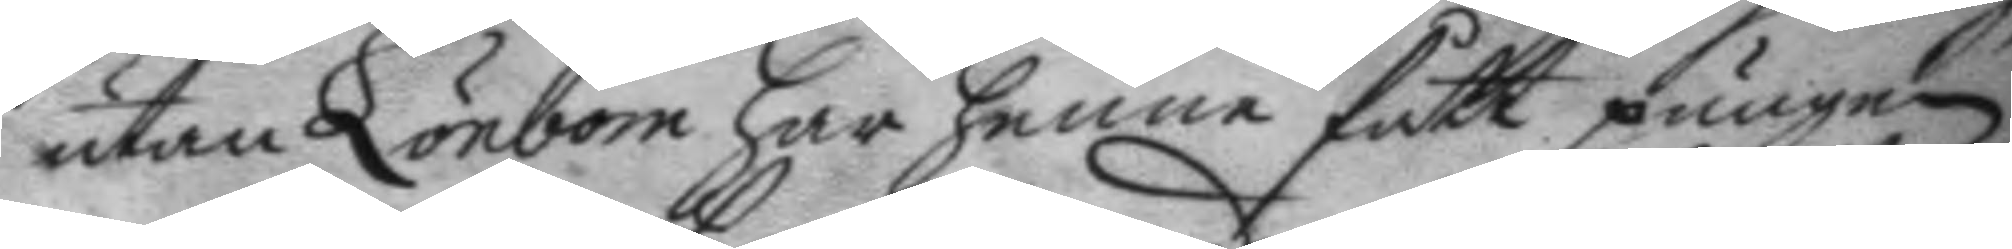utan Lönbom har henne fått pungen
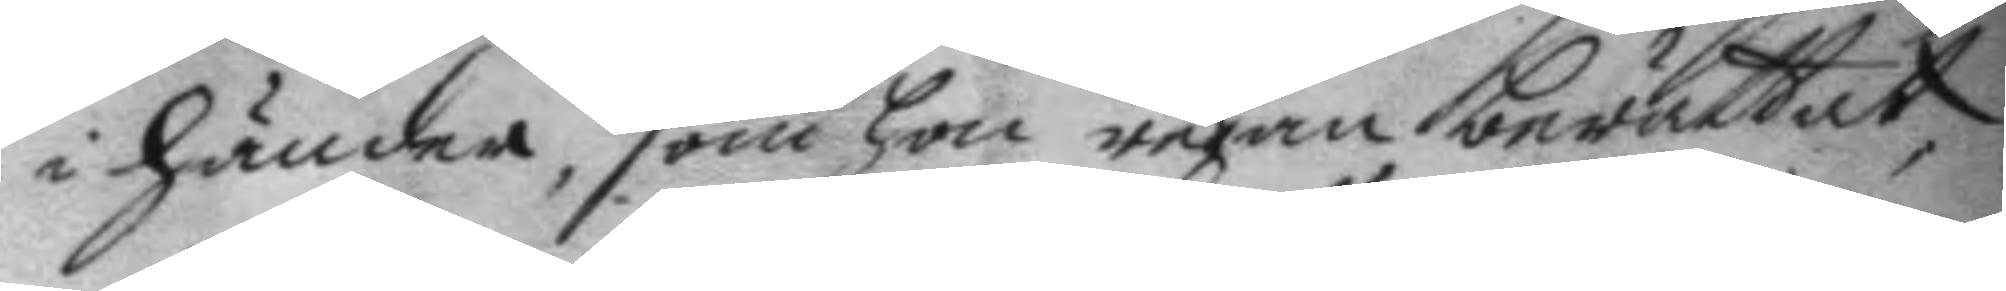i händer, som hon redan berättat,
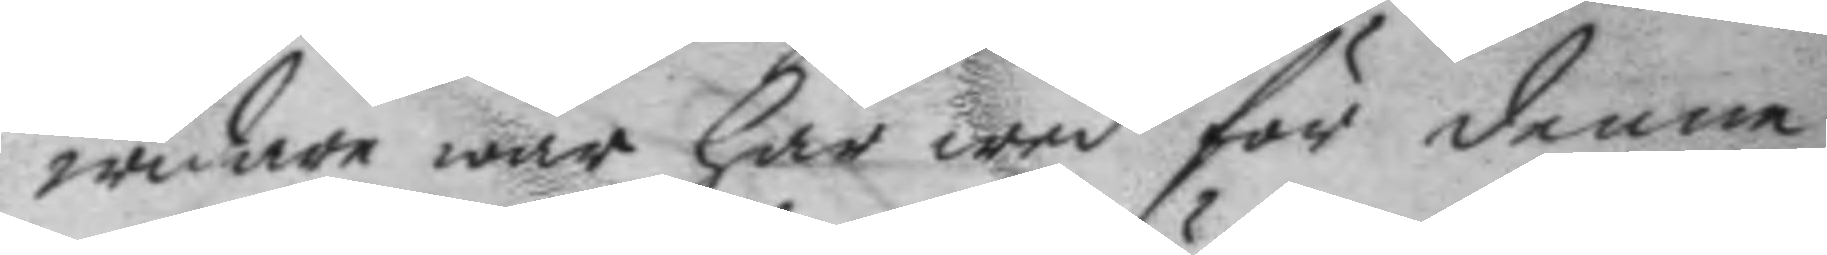widare war här wed för denne
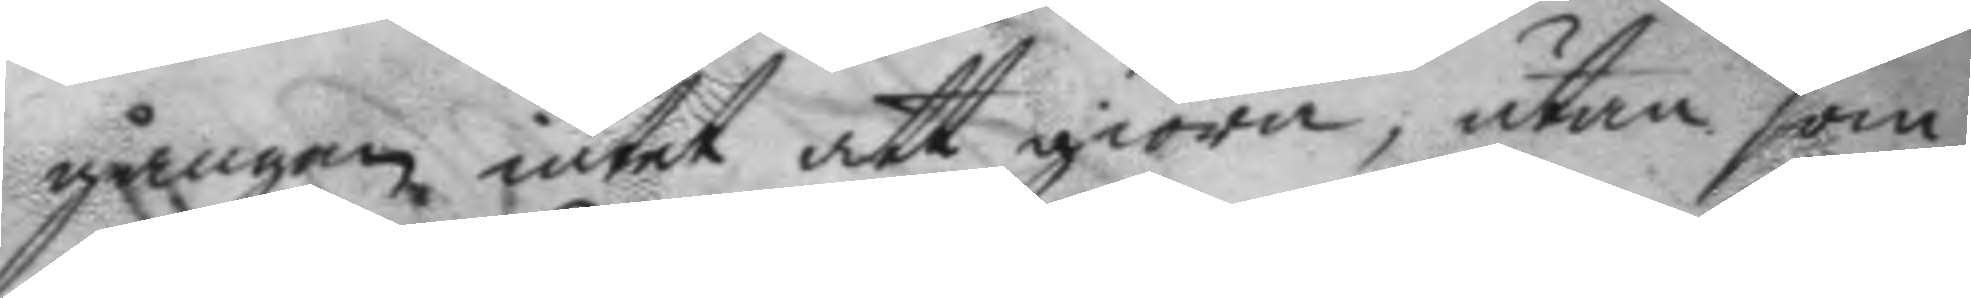gången intet att giöra, utan som
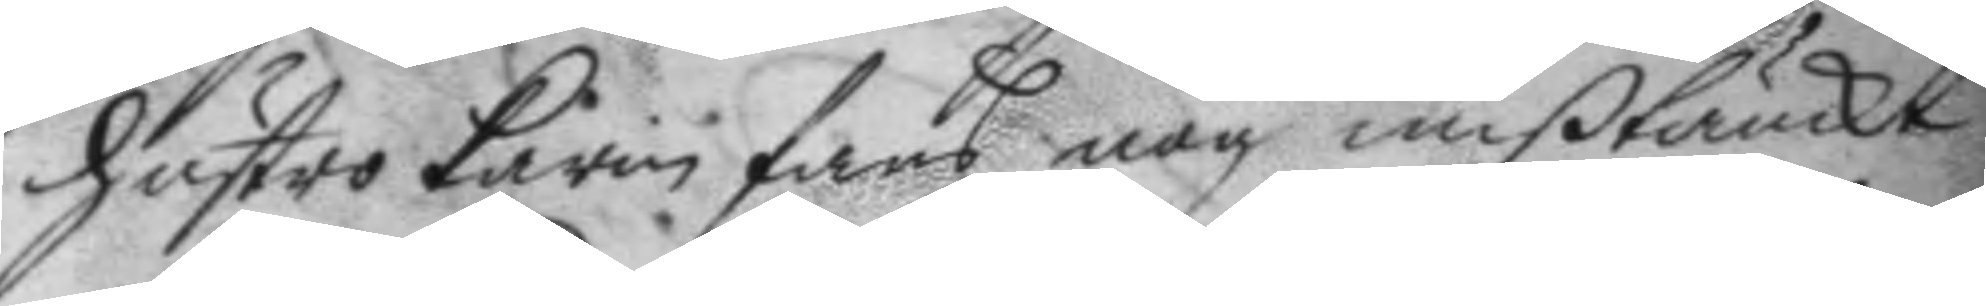hustro karin fans nog mißtänckt
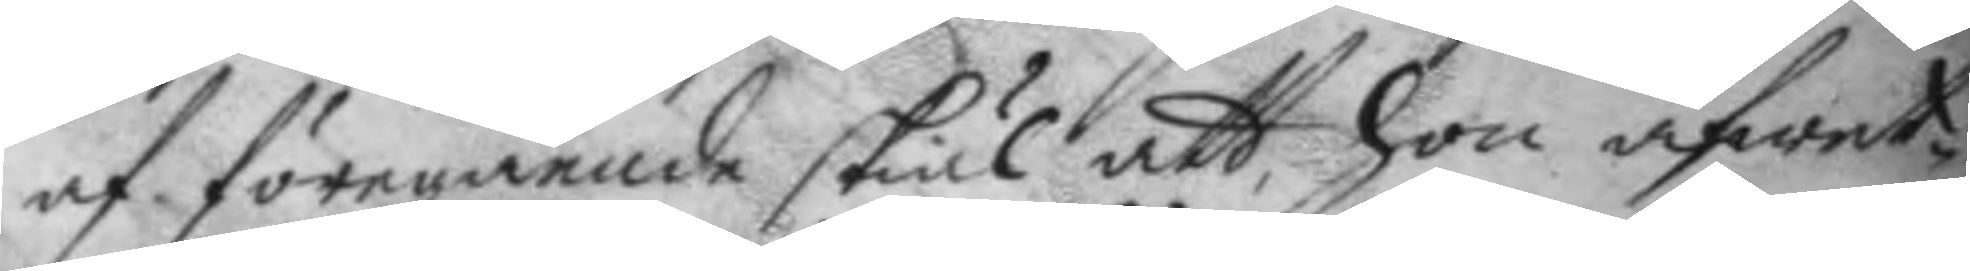af föregående skiäl att, hon afwet¬
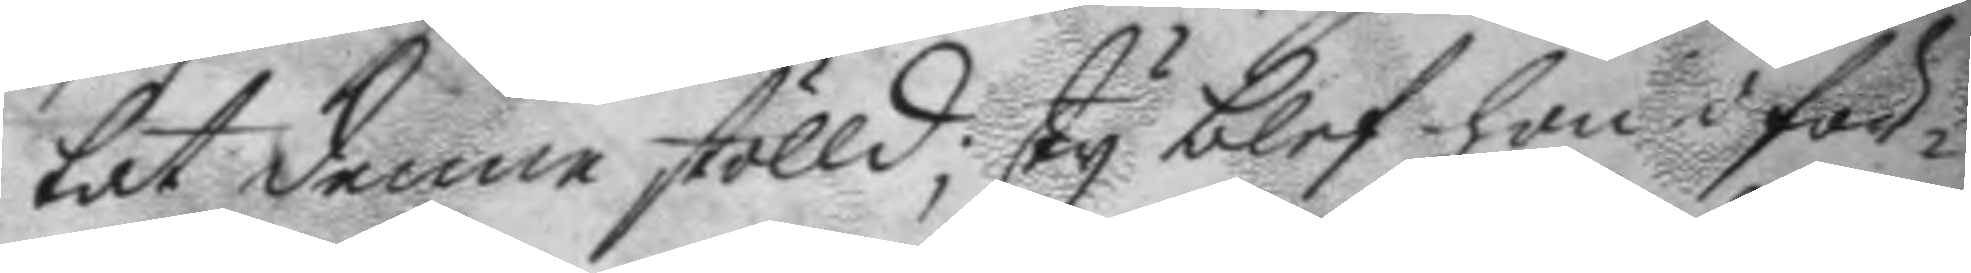tat denne stölld; ty blef hon i för¬
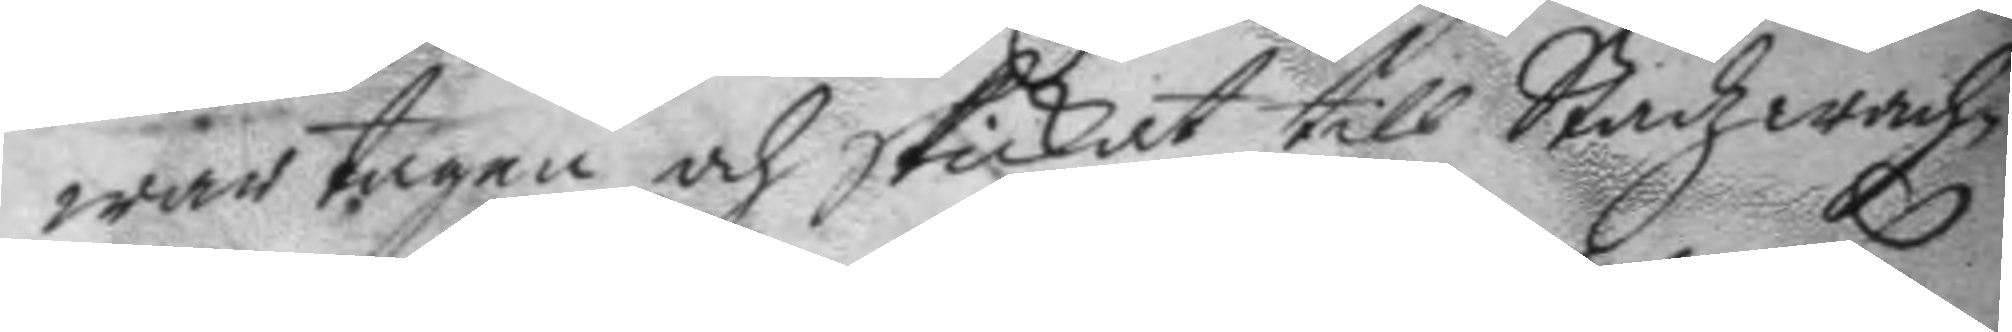war tagen och skickat till Stadzwach¬
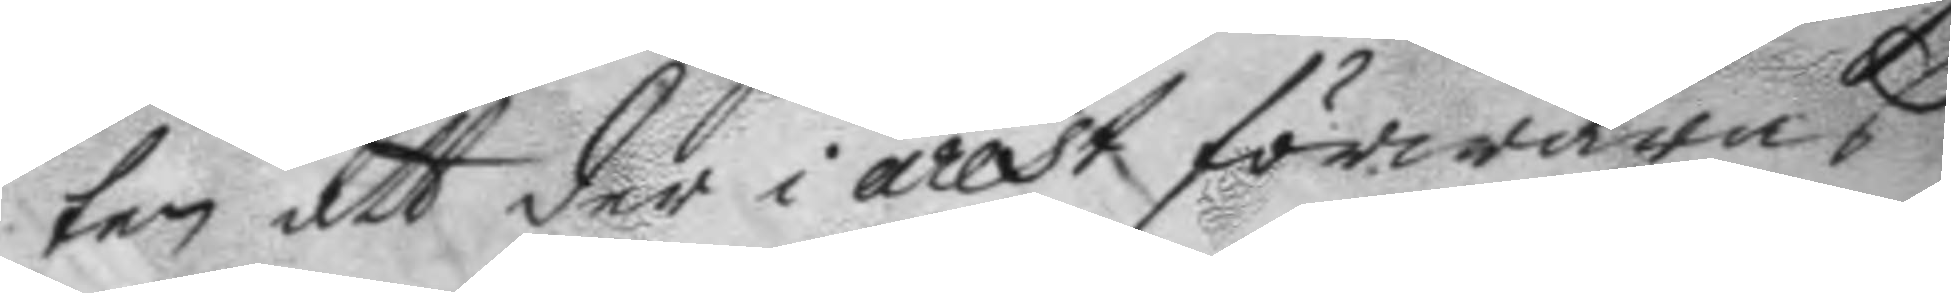ten att der i arrest förwaras
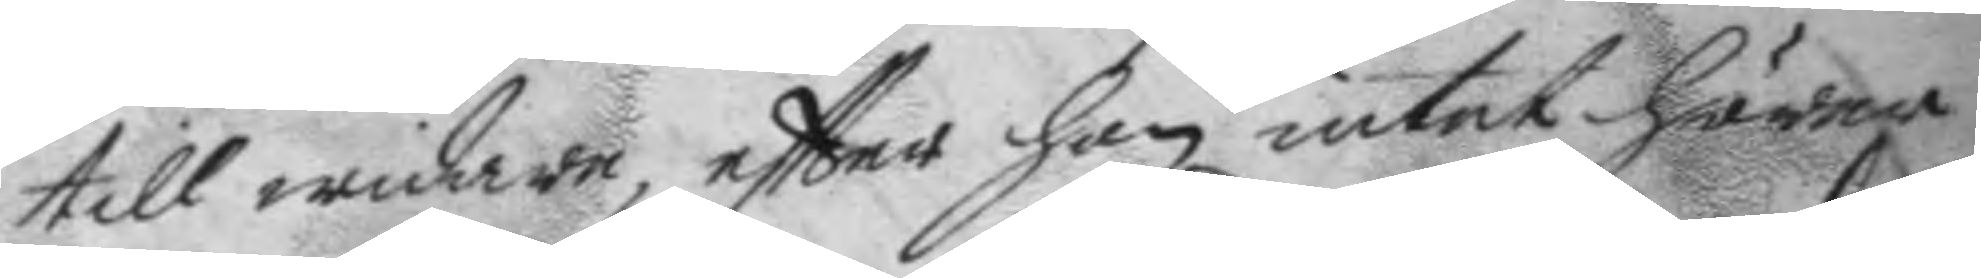till widare, eftter hon intet hörer
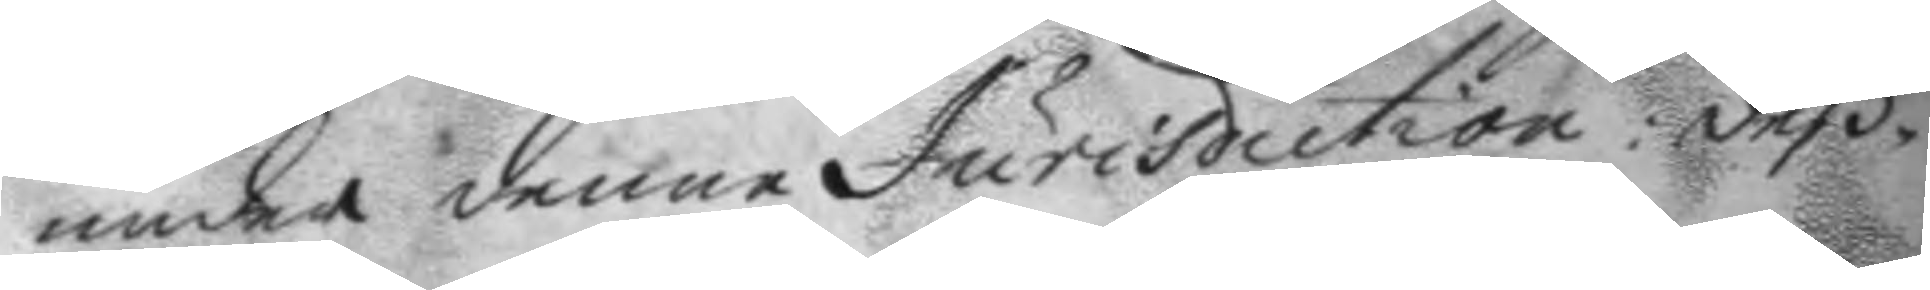under denne Jurisdiction: deß¬
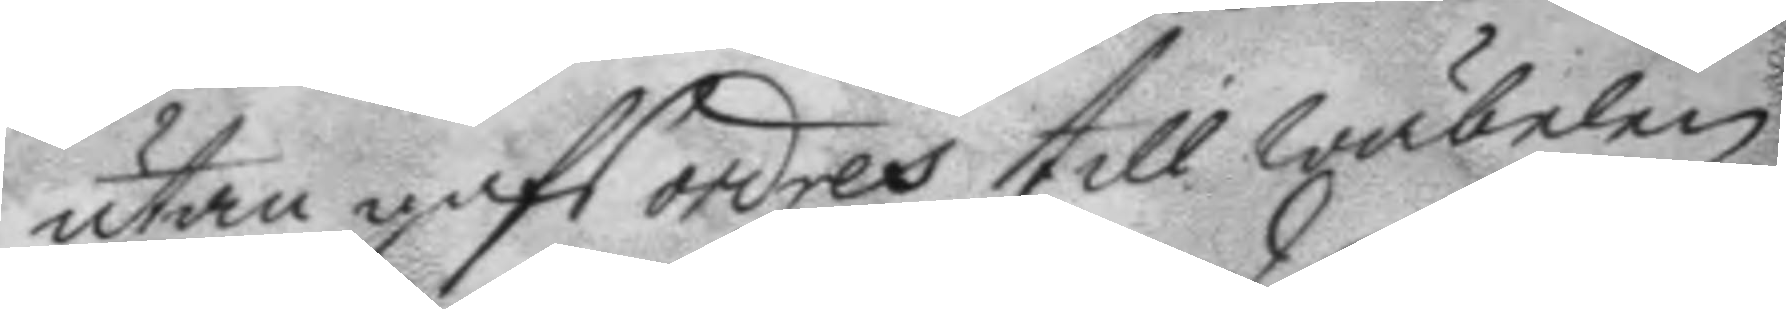utan gafs ordres till wäbelen
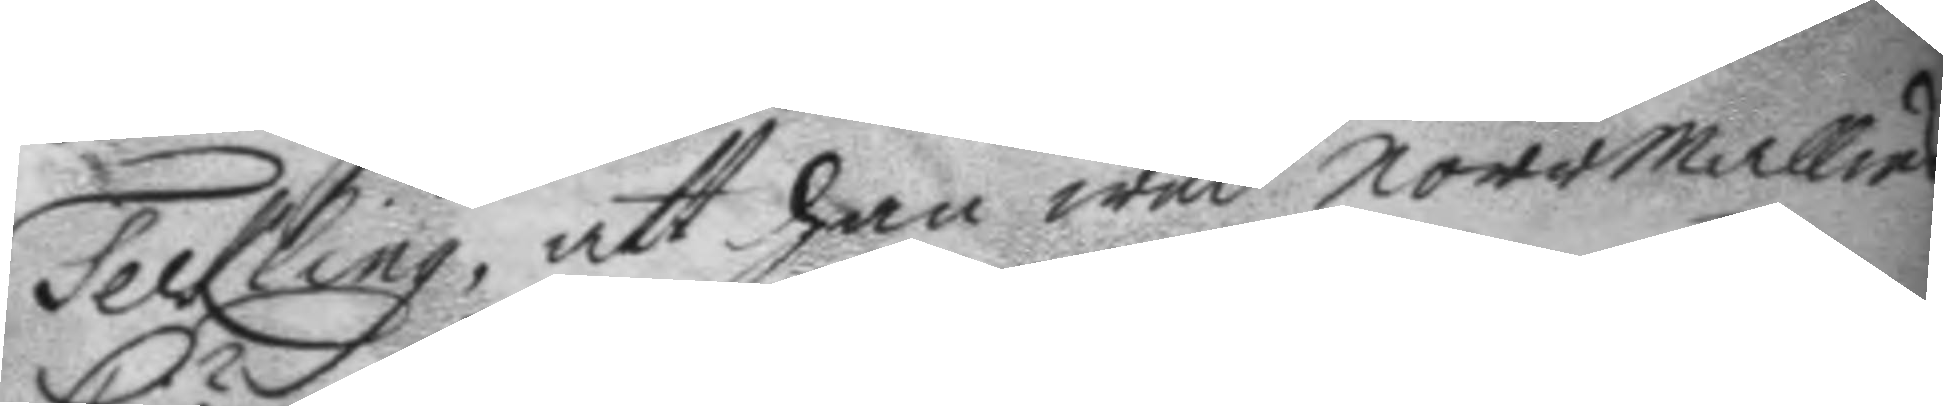Teckling, att han wed norrmallms
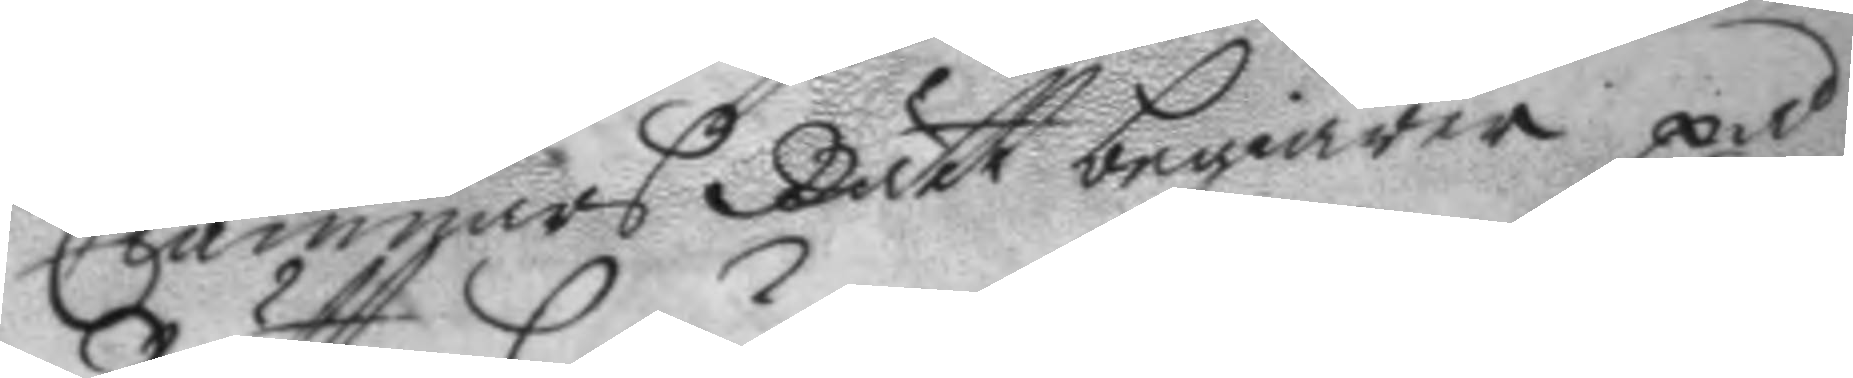Ciämnärs Rätt begiärer på
